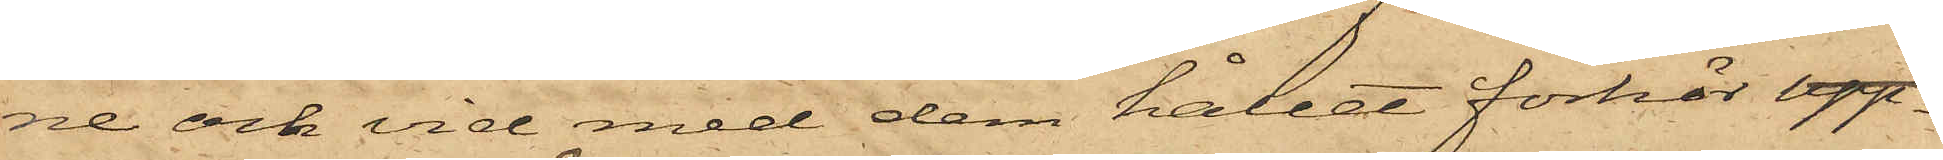ne och vid med dem hållet förhör upp¬
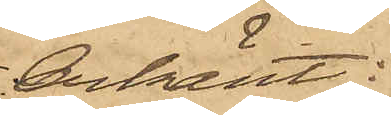erkänt:
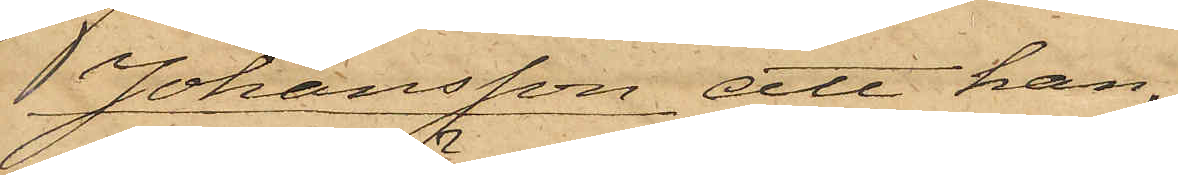 Johansson att han
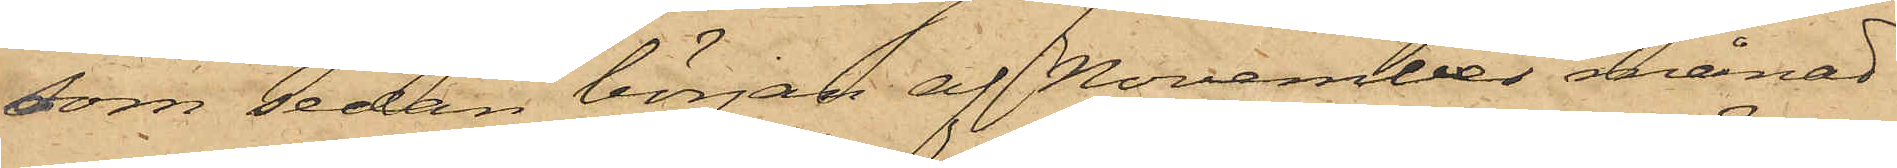som sedan början af November månad
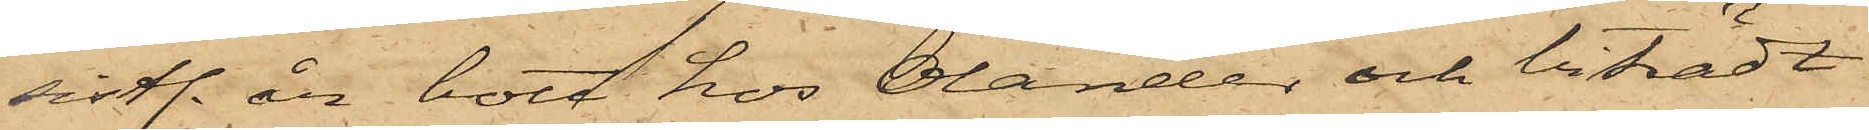sistl. år bott hos Olander och biträdt
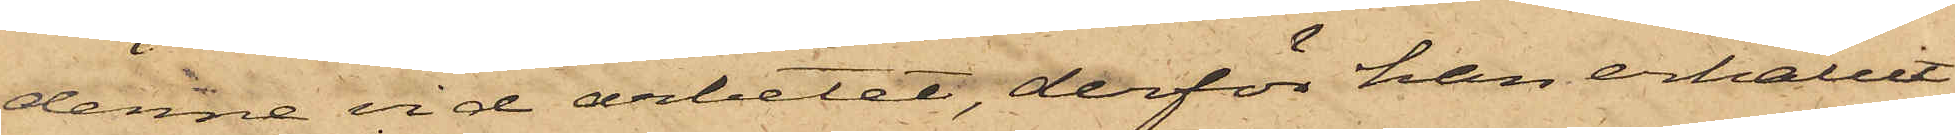denne vid arbetet, derför han erhållit
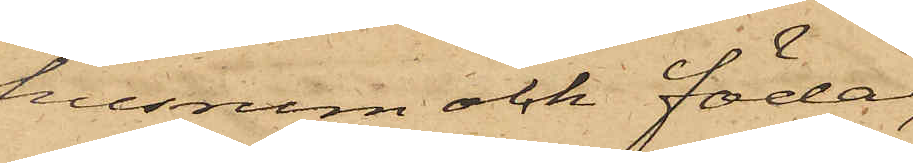husrum och föda,
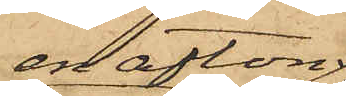en afton
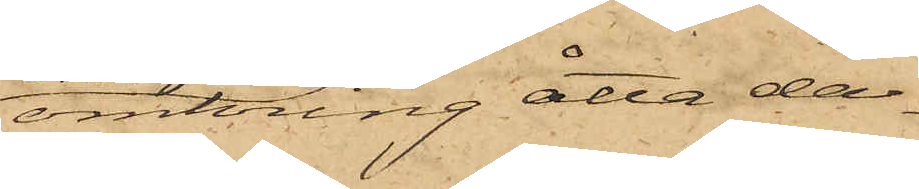omkring åtta da¬
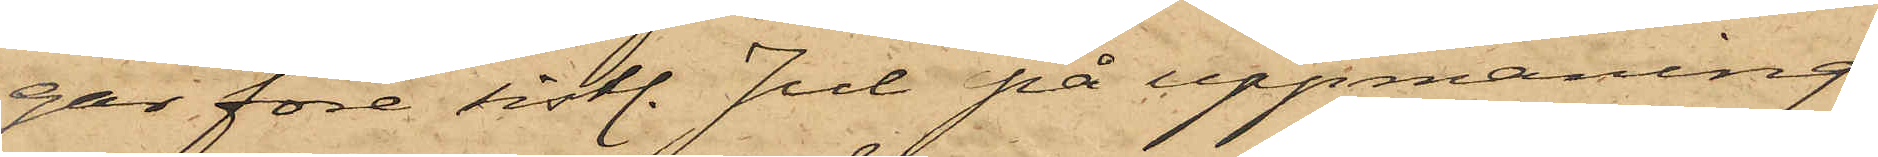gar före sistl. Juli på uppmaning
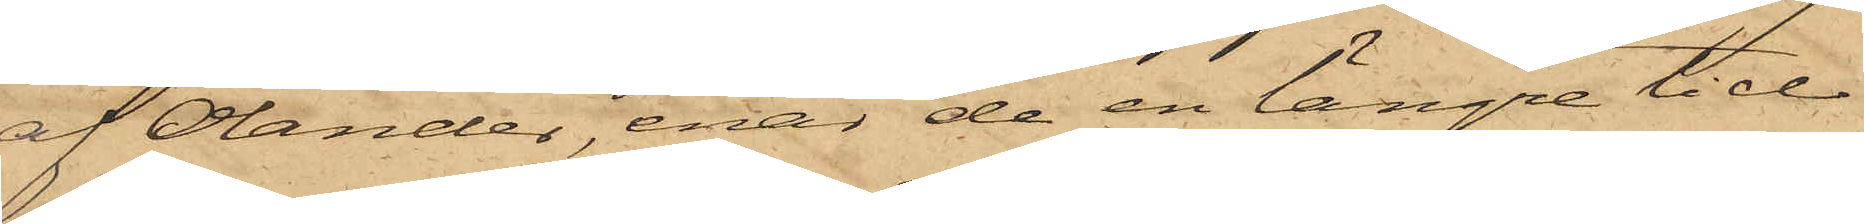af Olander, enär de en längre tid
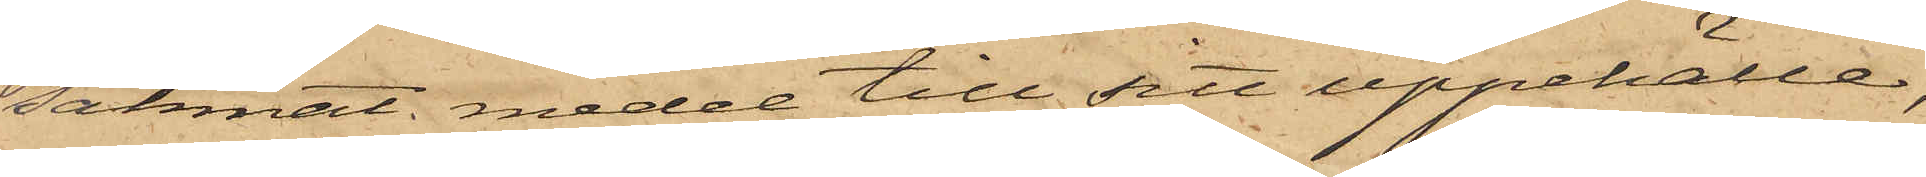saknat medel till sitt uppehälle,
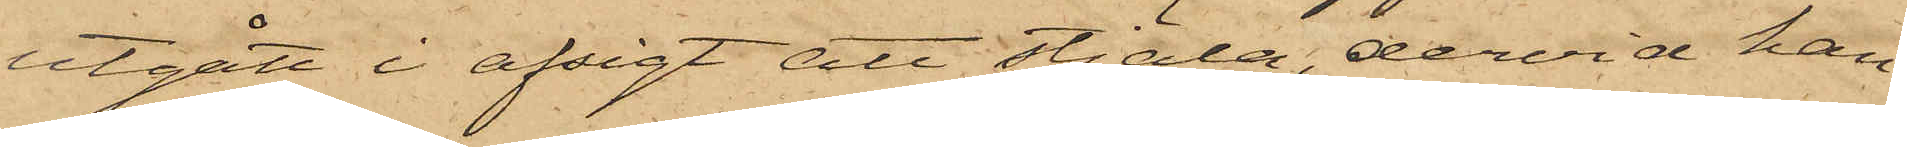utgått i afsigt att stjäla, dervid han
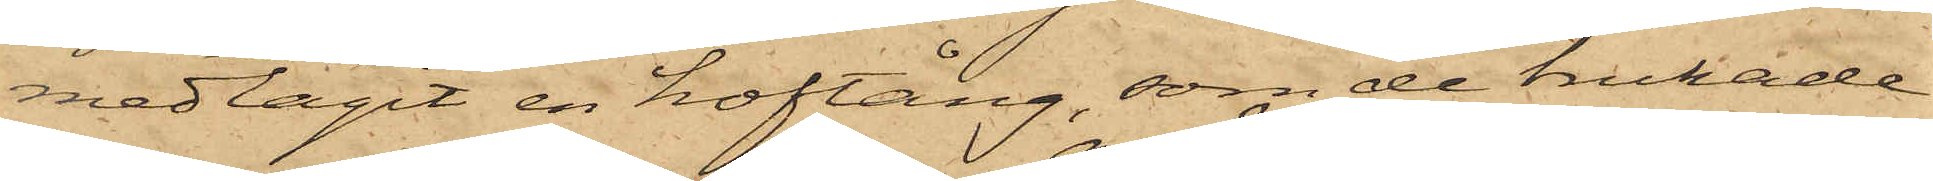medtagit en hoftång, som de brukade
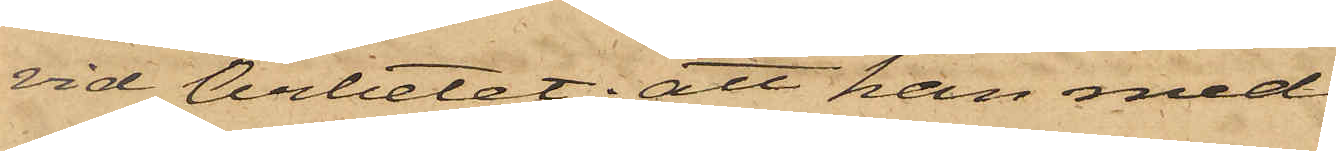vid Arbetet; att han med
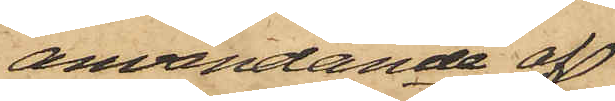användande af
